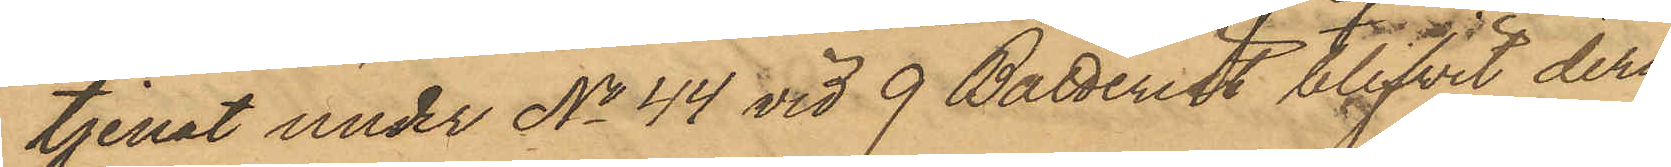tjenat under No 44 vid 9 Batteriet blifvit deri¬
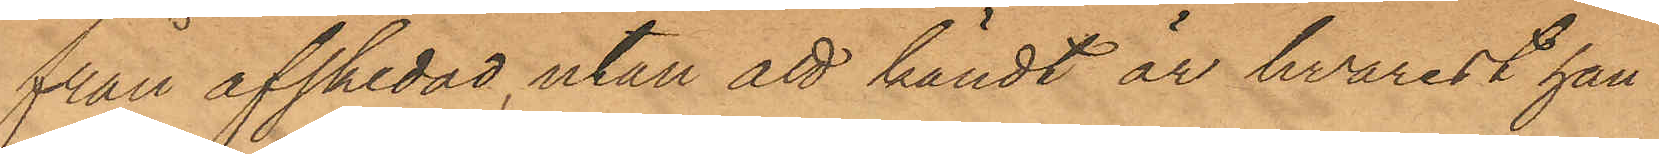från afskedad, utan att kändt är hvarest han
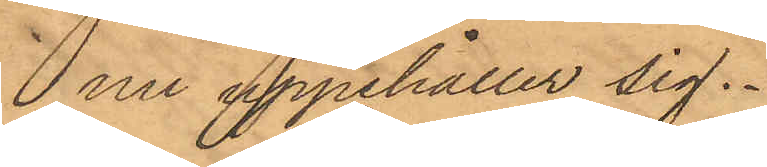nu uppehåller sig.
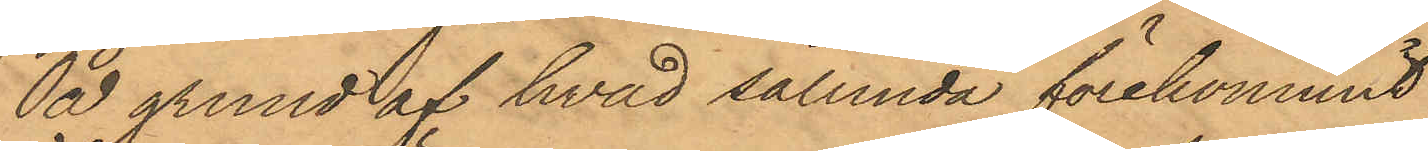På grund af hvad sålunda förekommit
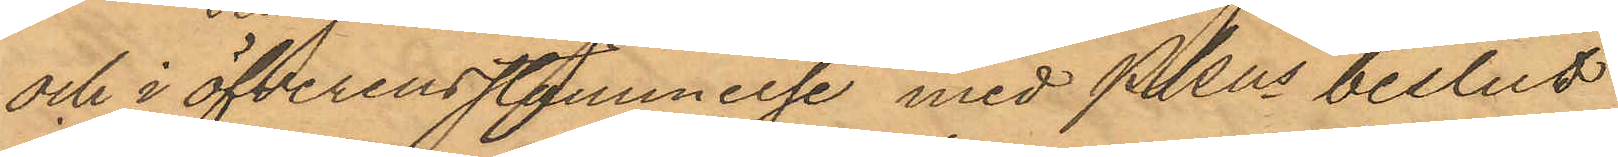och i öfverensstämmelse med PKns beslut
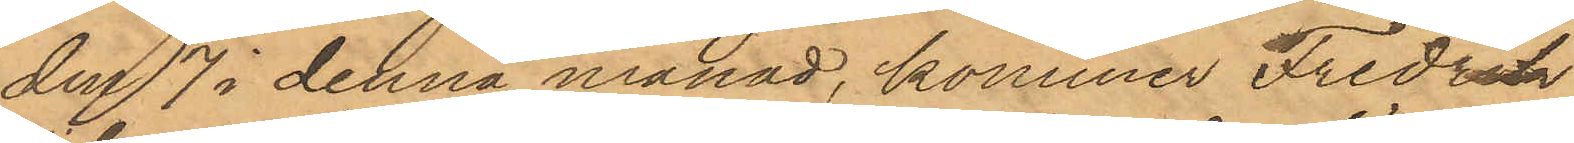den 7 i denna månad, kommer Fredrik
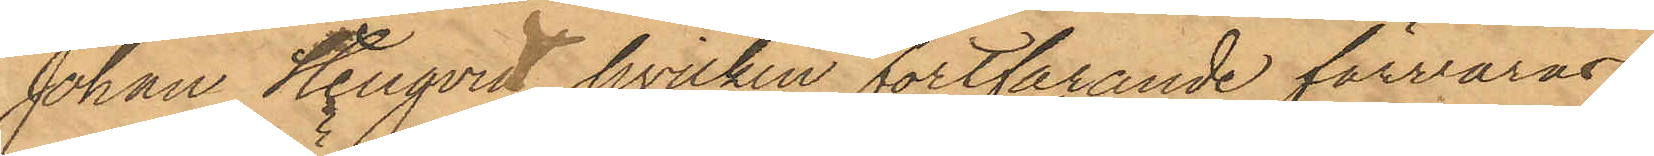Johan Stenqvist, hvilken fortfarande förvaras
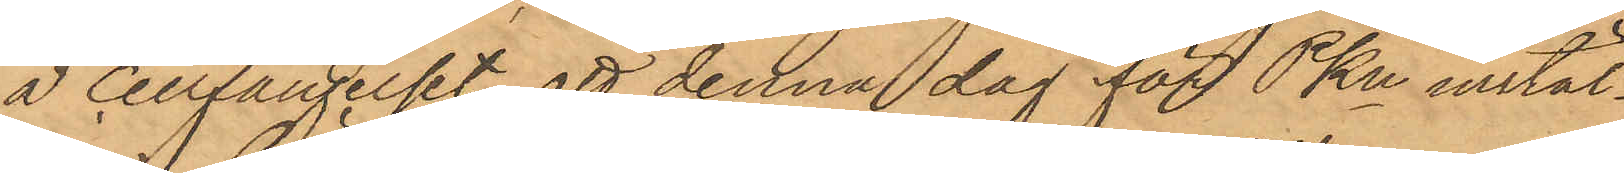å Cellfängelset, att denna dag för PKn instäl¬
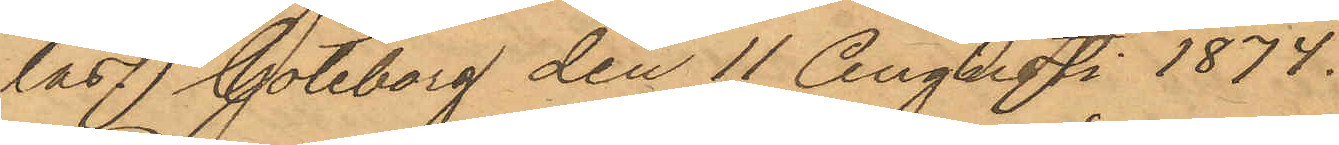las. Göteborg den 11 Augusti 1874.
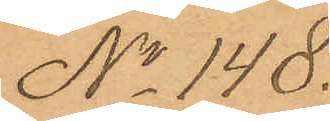No 148.
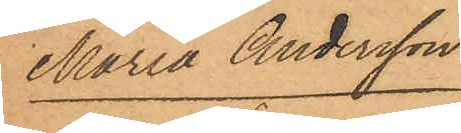Maria Andersson
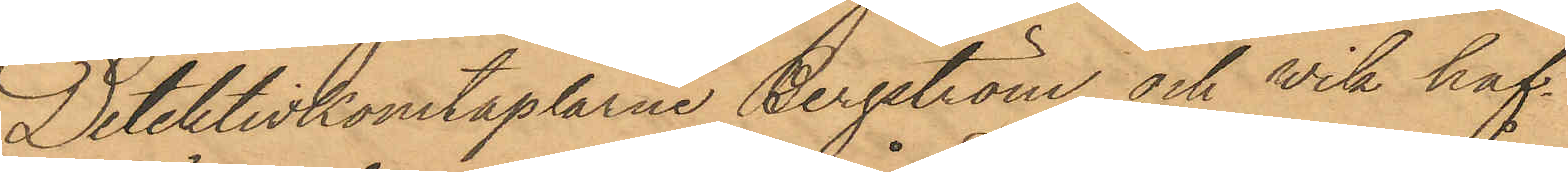Detektivkonstaplarne Bergström och Wik haf¬
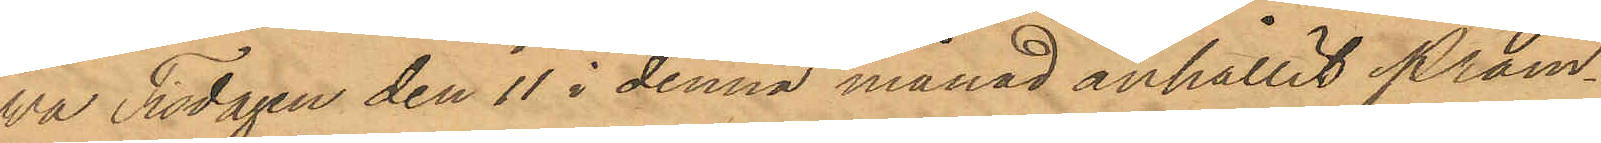va Tisdagen den 11 i denna månad anhållit pråm¬
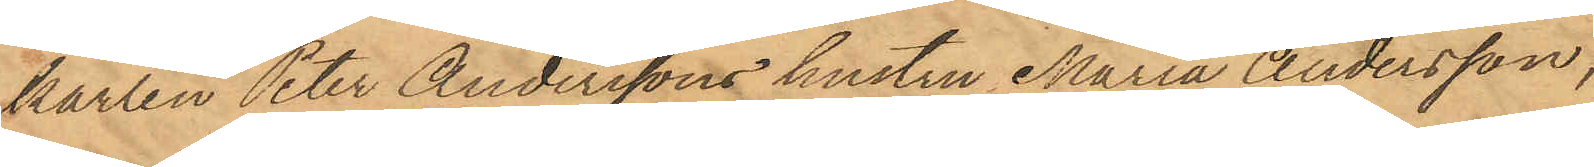karlen Peter Anderssons hustru Maria Andersson,
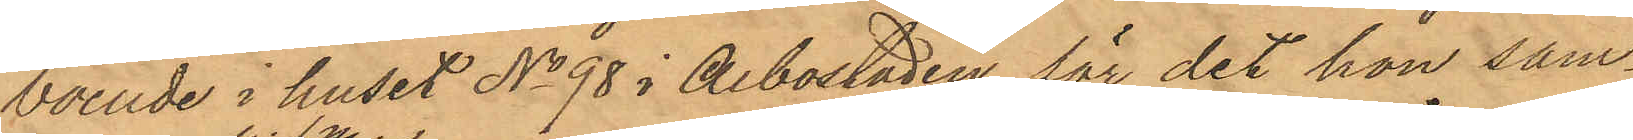boende i huset No 98 i Albostaden, för det hon sam¬
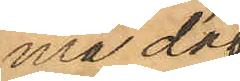ma dag
